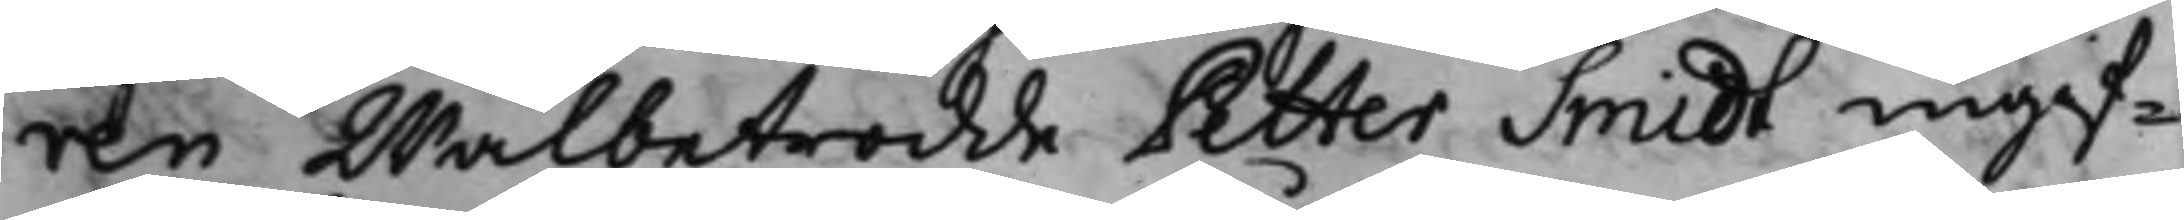 ren Wälbetrodde Petter Smidt ingif¬
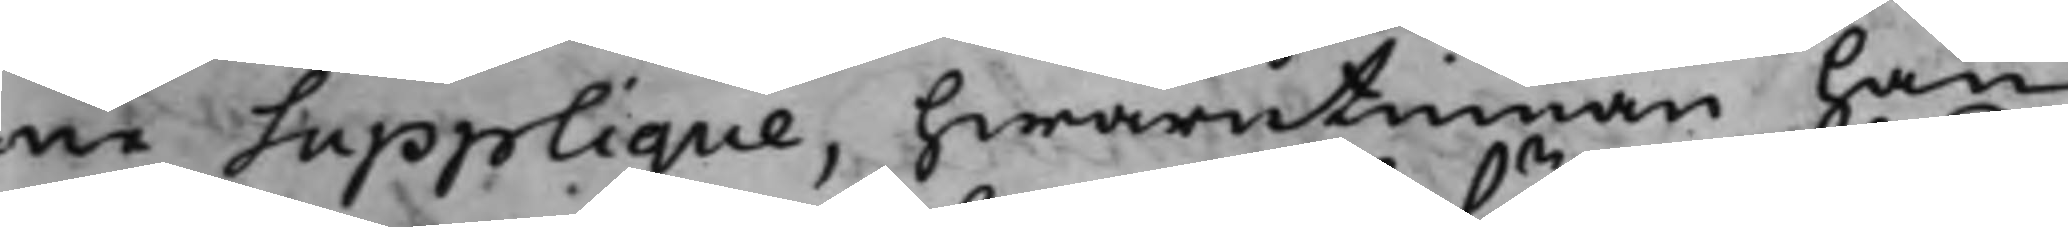ne Supplique, hwarutinnan han
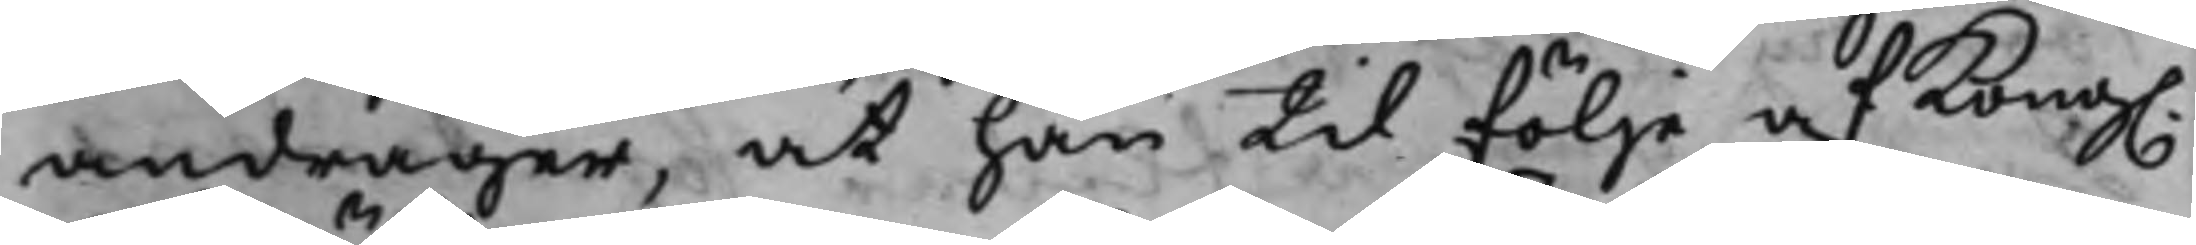andrager, at han til följe af Kong.
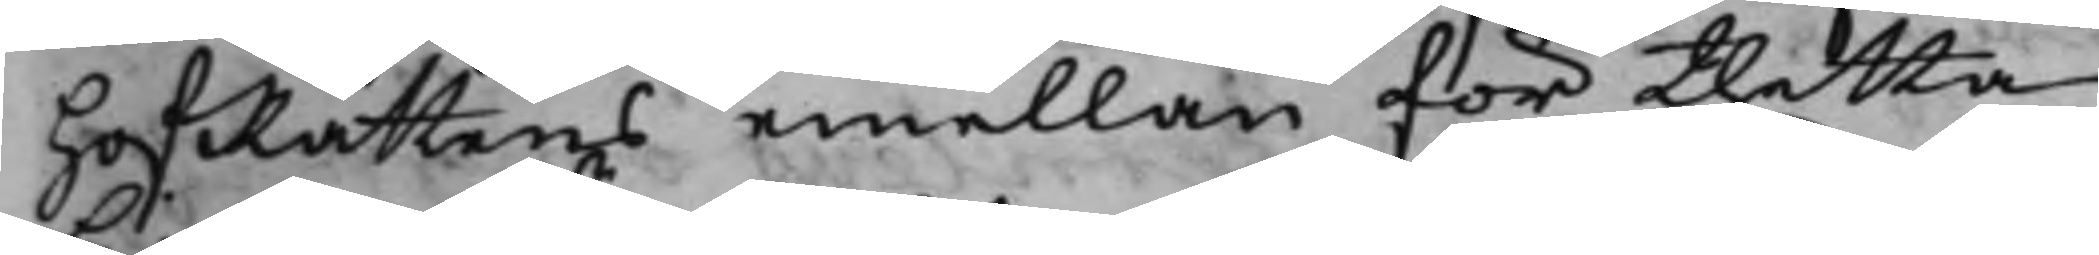HofRättens emellan för thetta
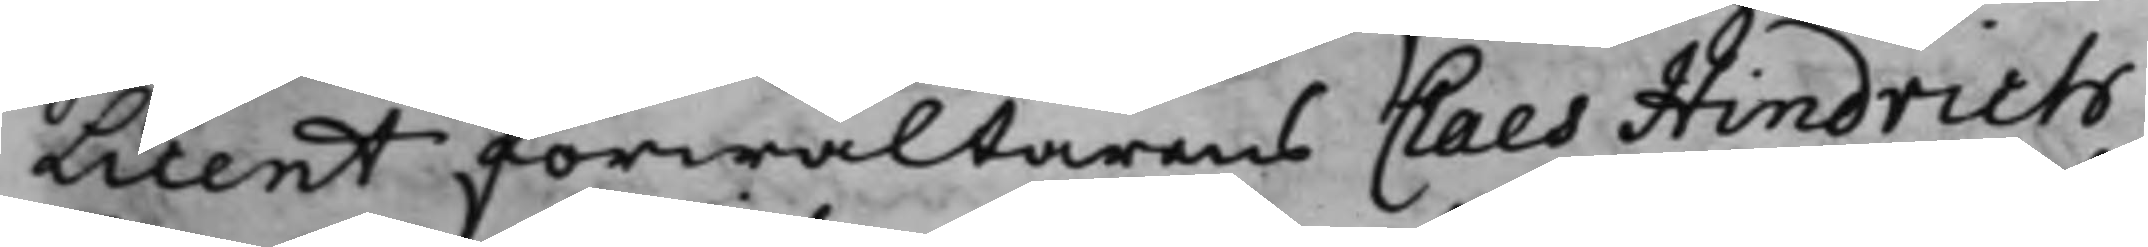licent förwaltarens Claes Hindrich
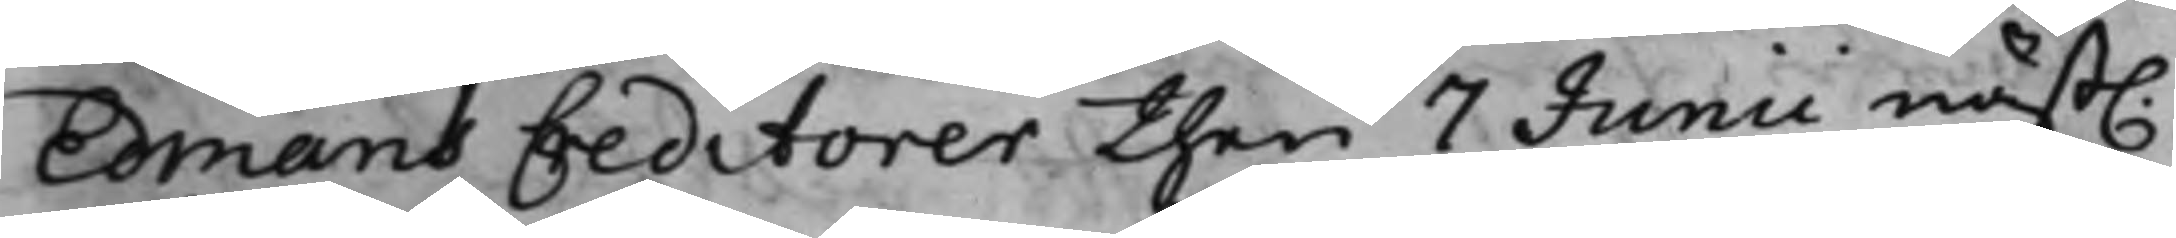Edmans Creditorer then 7 Junii näst.
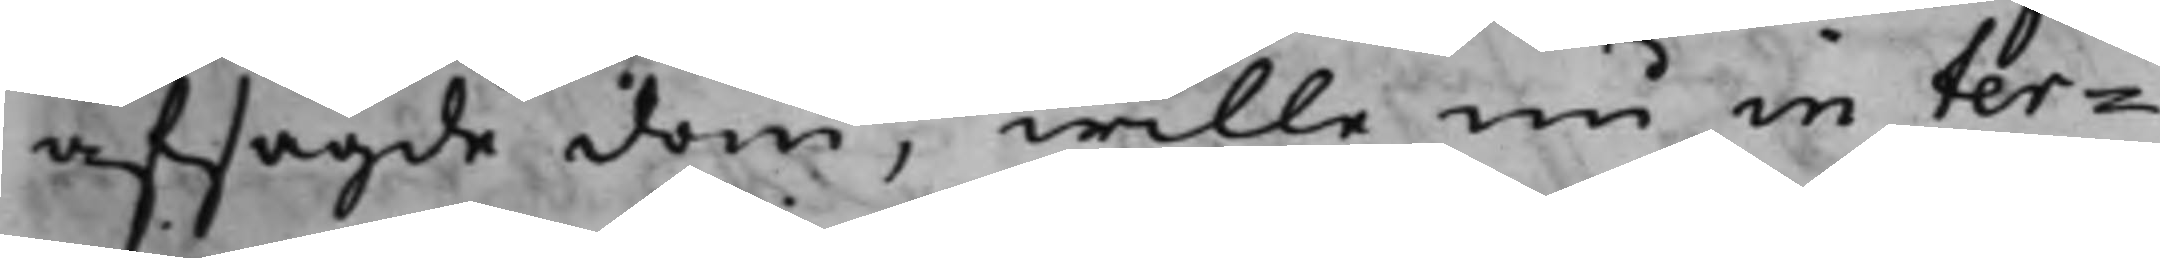afsagde dom, wille nu in ter¬
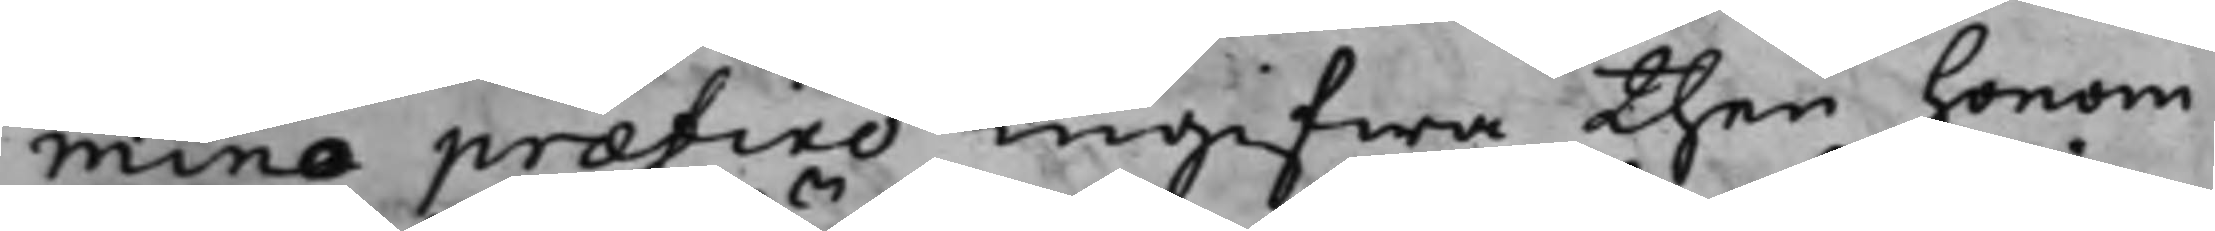mino præfixo ingifwa then honom
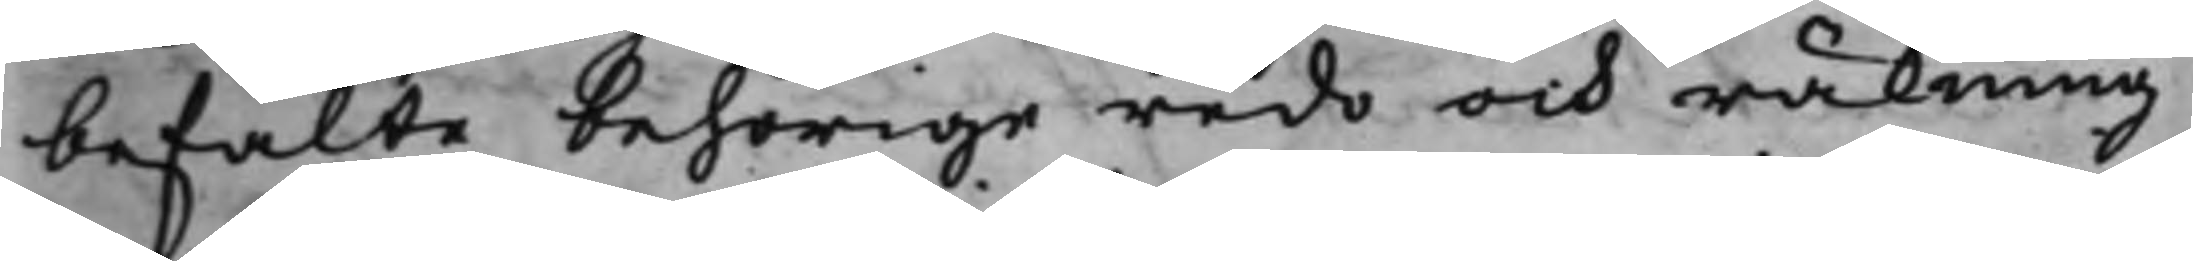befalte behörige redo och räkning
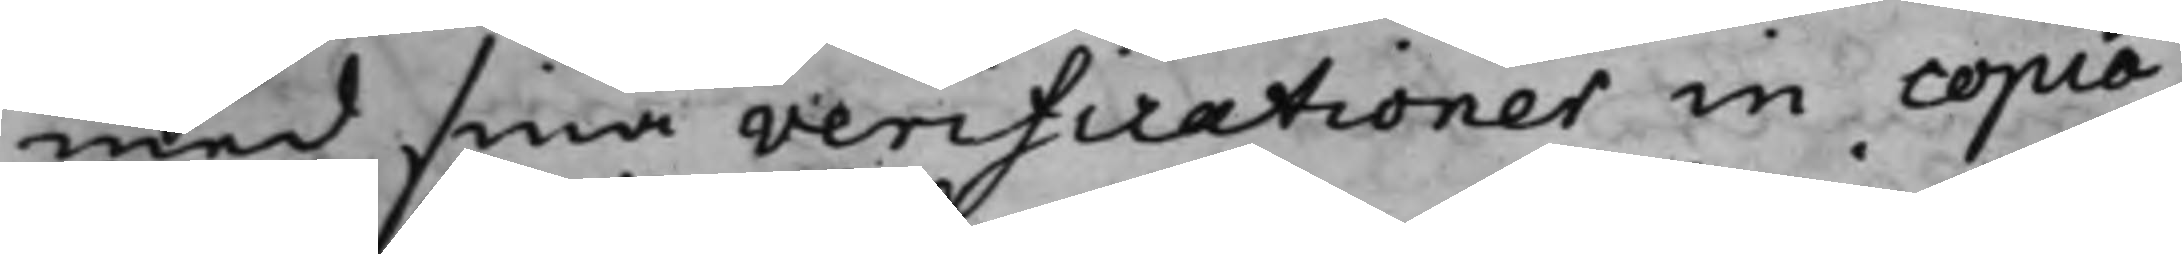med sina verificationer in copiæ,
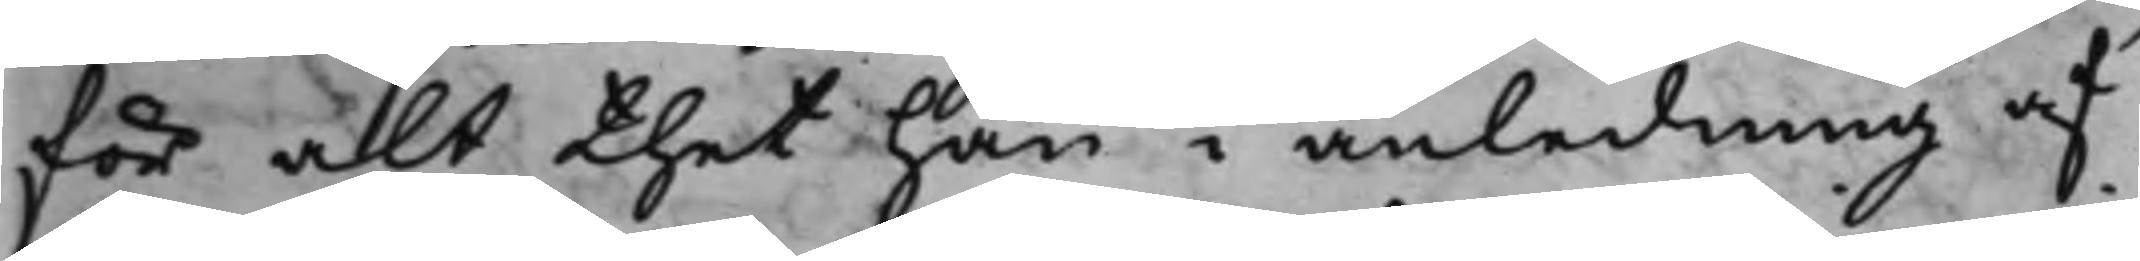för alt thet han i anledning af
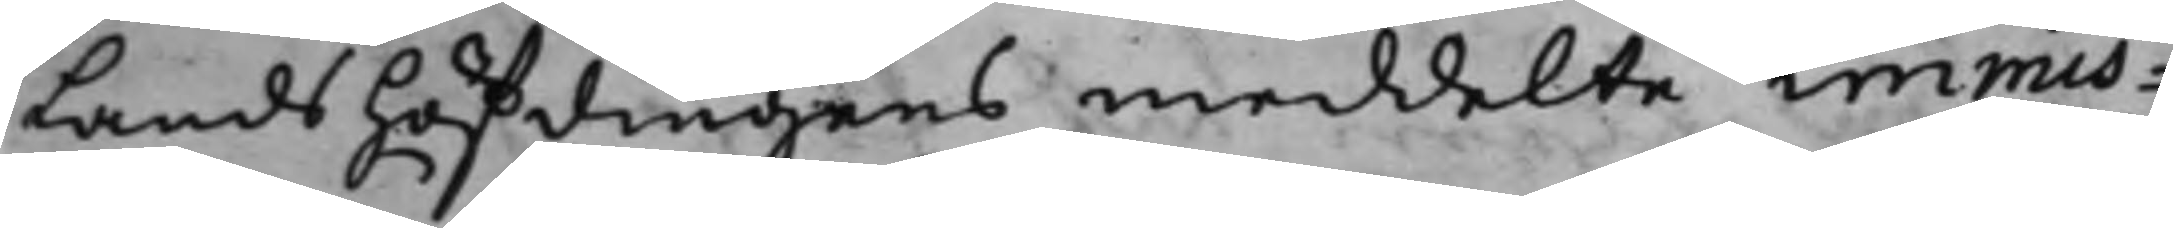Landshöfdingens meddelte immis¬
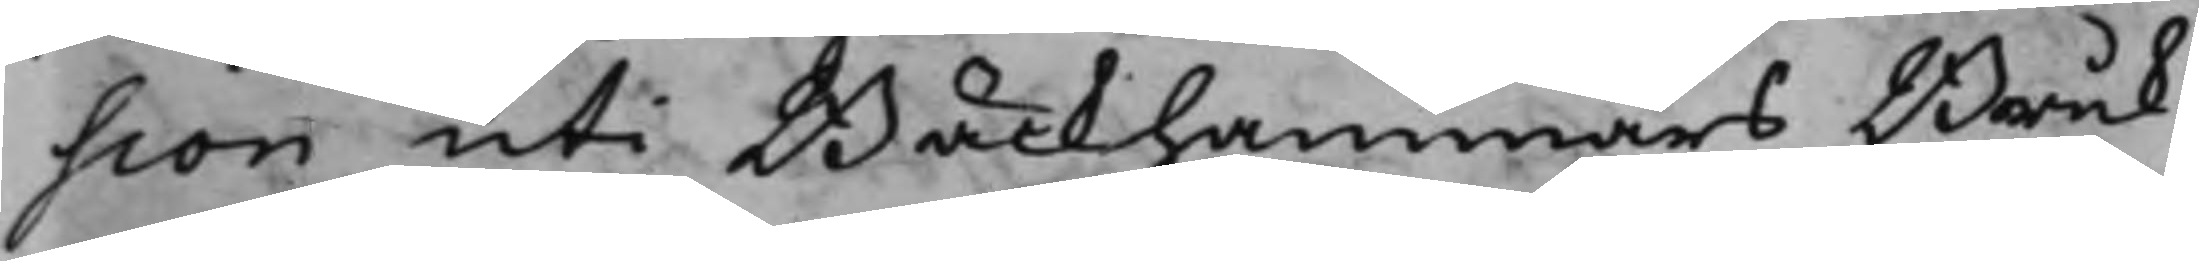sion uti Bäckhammars Bruk
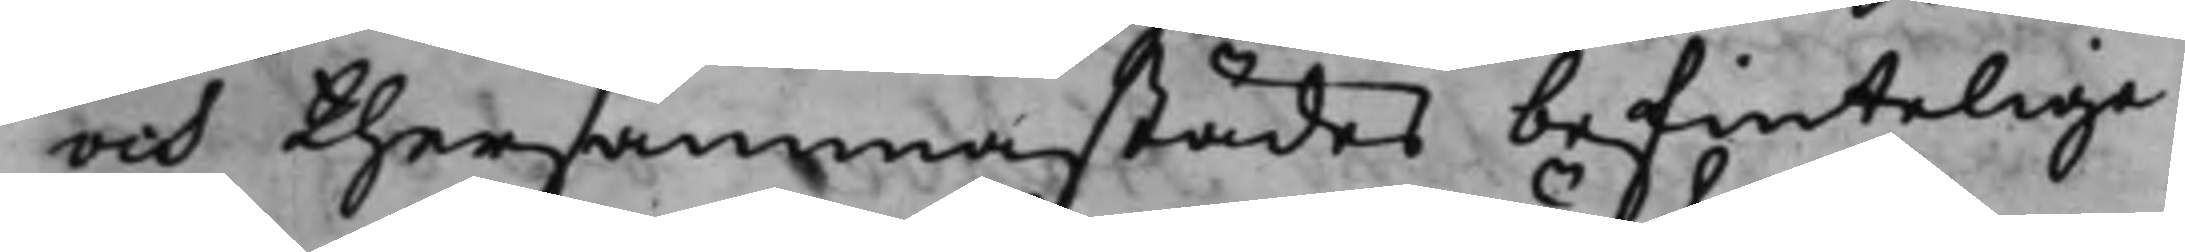och thersammastädes befintelige
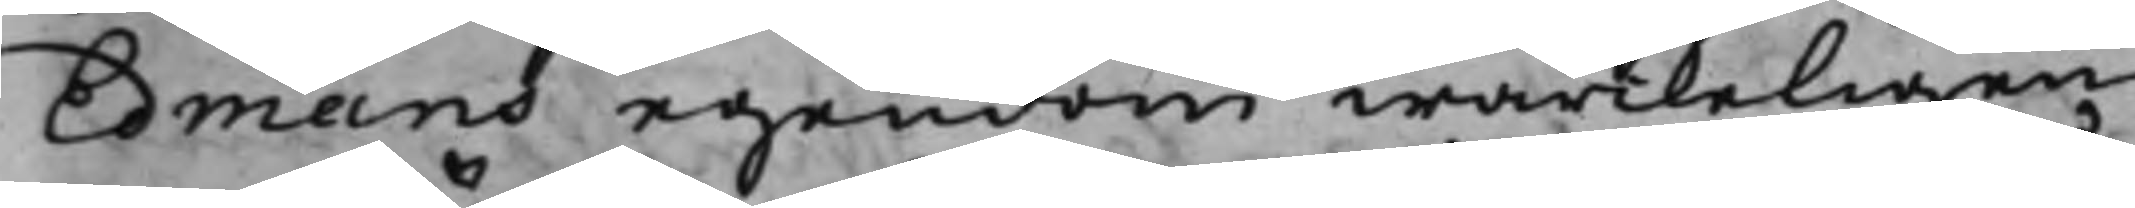Edmans egendom wärckeligen
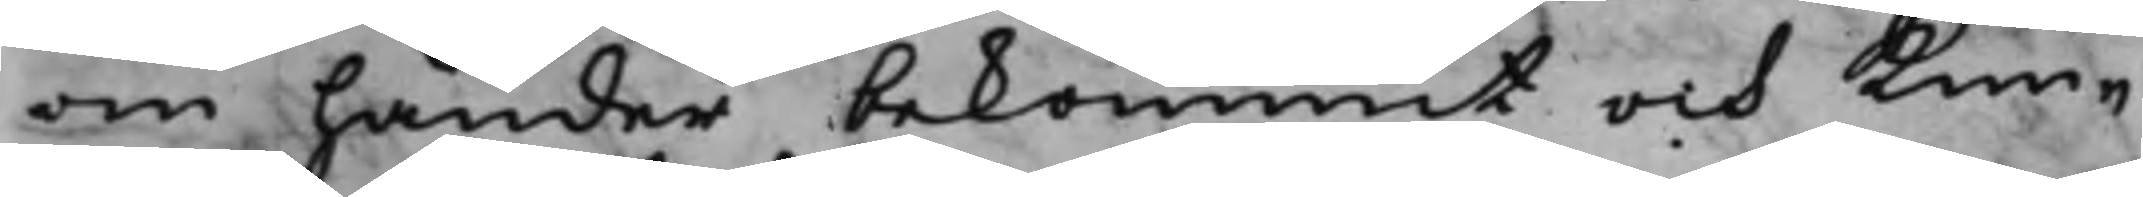om händer bekommit och kun¬
